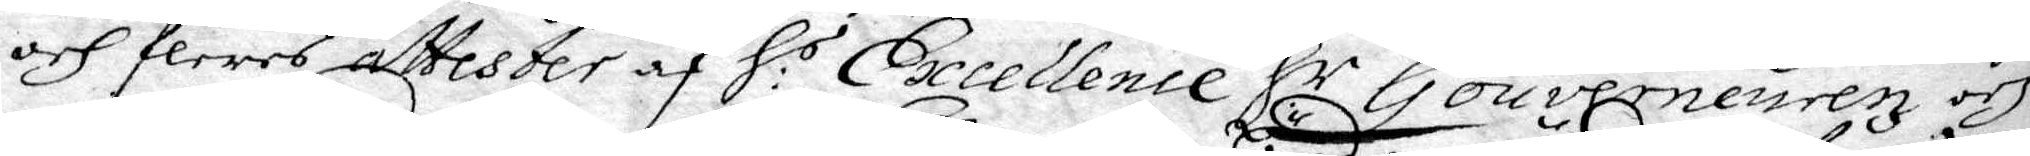och fleres attester af H.s Execllence H:r Gonverneurenz och
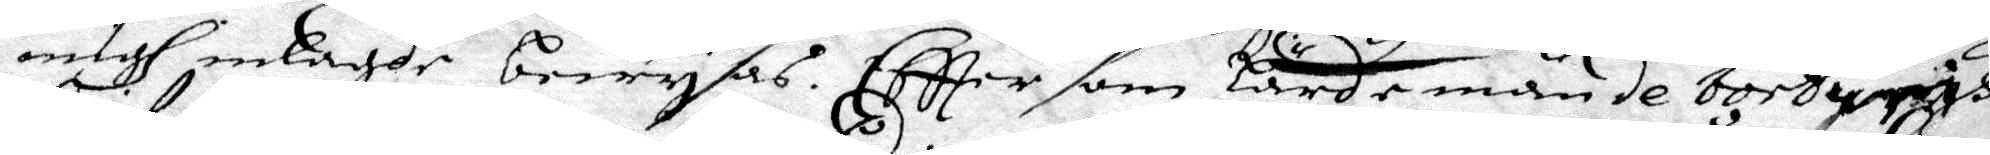migh inlade bewysas. Eter som Lände män de bort unis
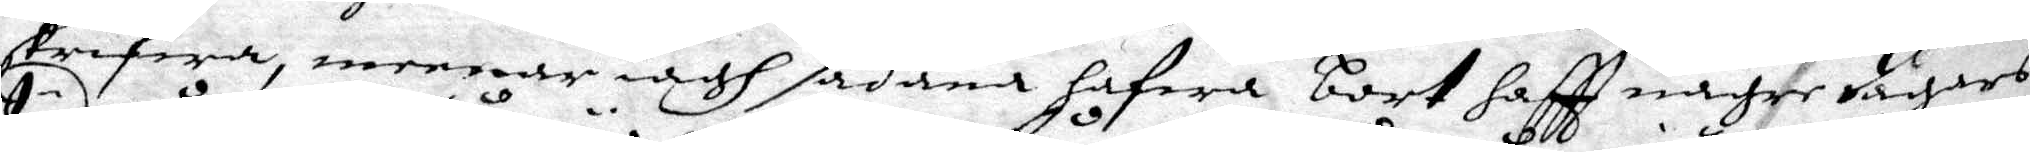skrifwa, meenar iagh sådana hafwa bort haftt någre dagars
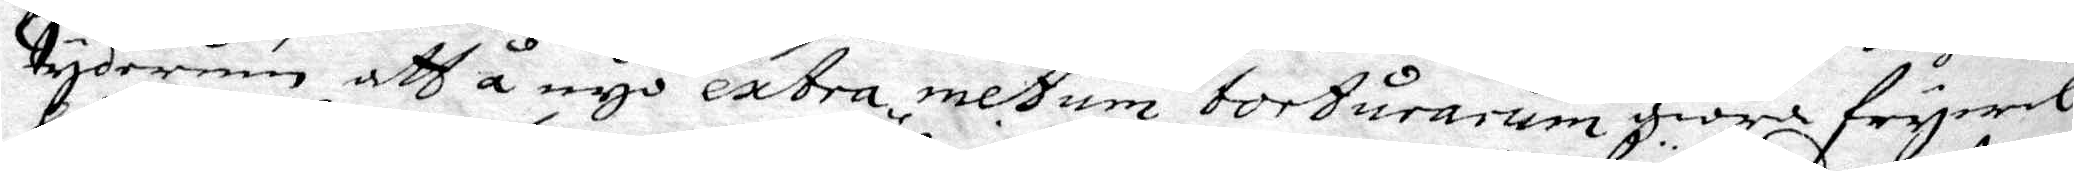tyderum att å nyo extra metum torturarum giöra frywil¬
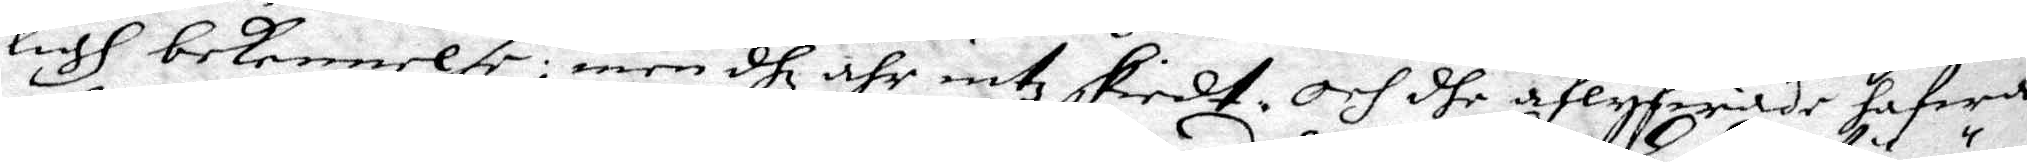ligh bekennelse; men dhe ähr intz skiedt. Och dhe aflyfwade hafwa
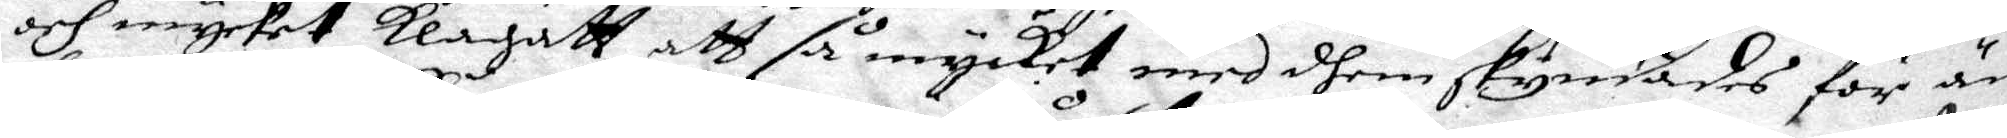och mycket Klagatt att så mycket med dhem skyndades för än
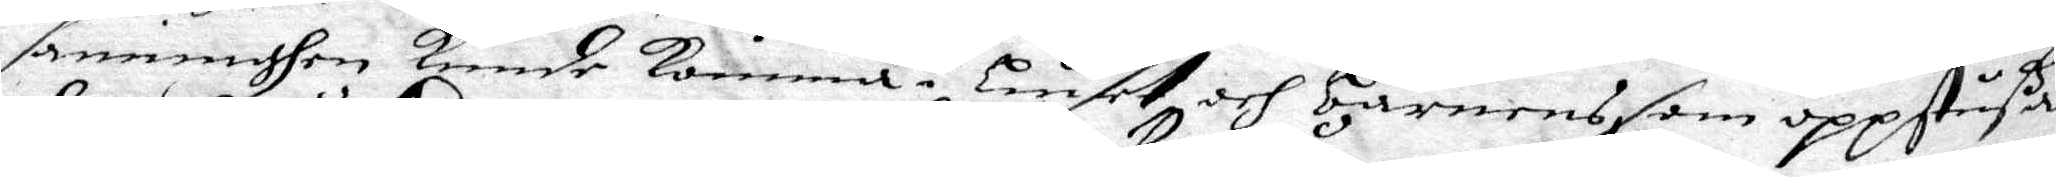sanninghen Kunde Komma i liuset och barnens som oppstußa¬
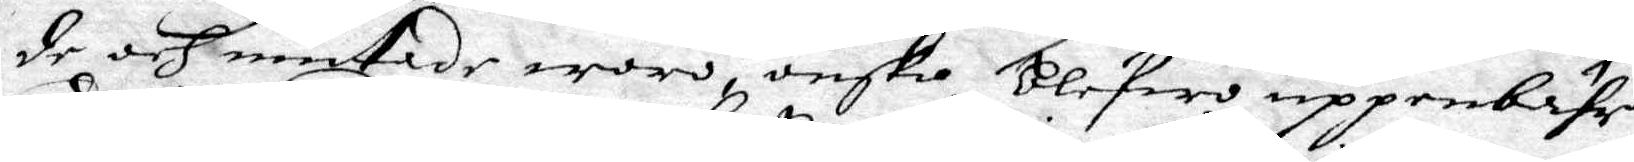de och mutade woro, onsko blefwo uppenbahr.
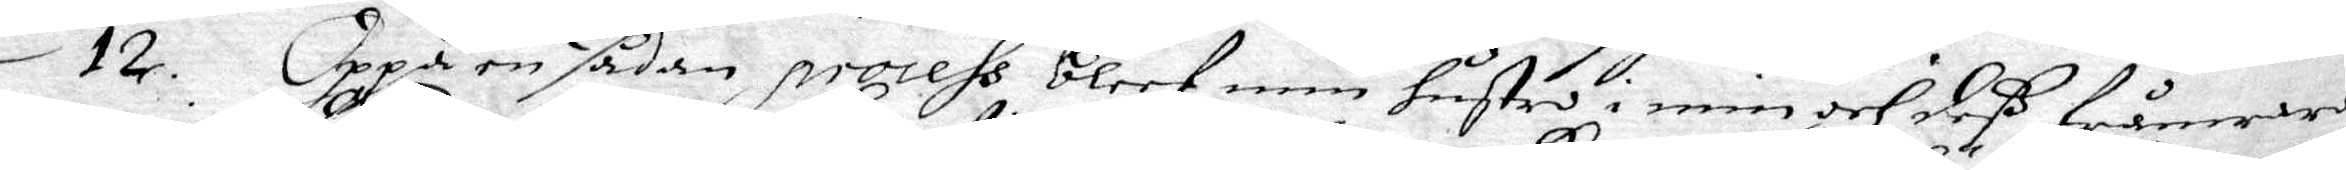12. Oppå en sådan process bleef min hustro i min och deß frånwaro
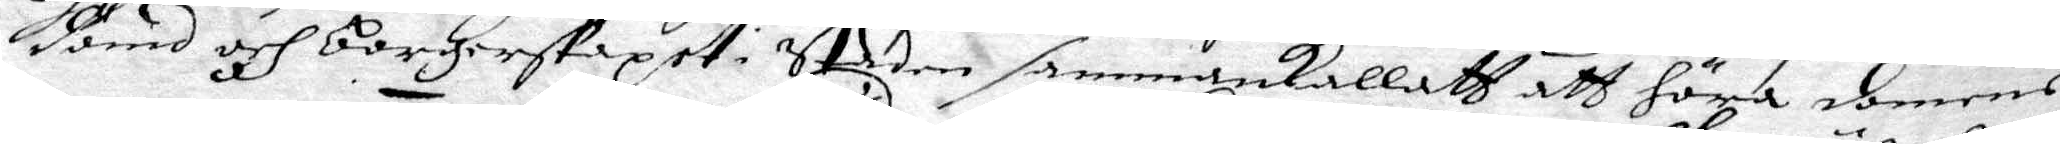dömd och borgerskapet i Staden sammankallatt att höra domens
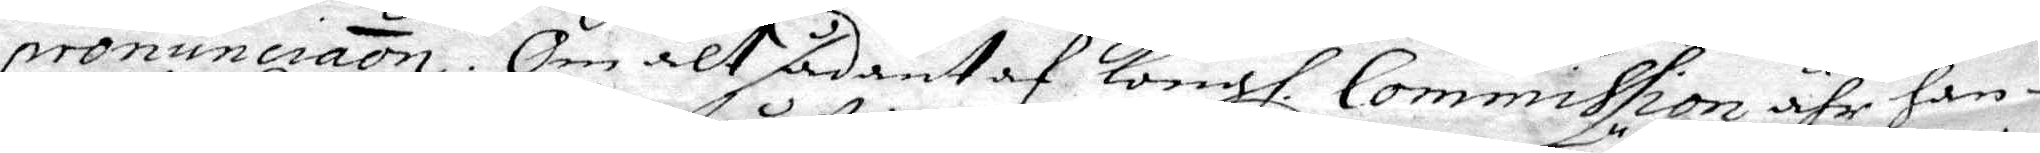pronuncraon. Om alt sådant af Kongl. Commission ähr han-
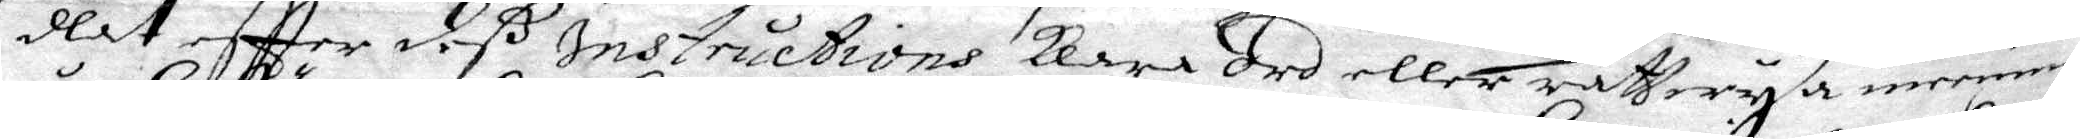dlat effter deß Instructions klara ord eller rättwysa meening
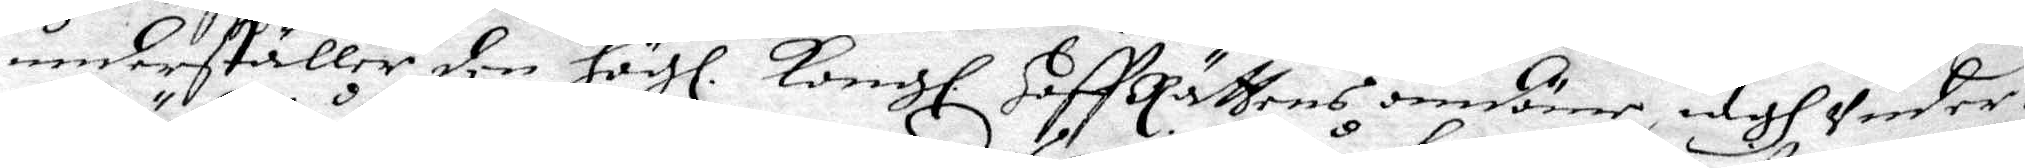underställer den Högl. Kongl. Hoff Rättens omdöme, iagh Under¬
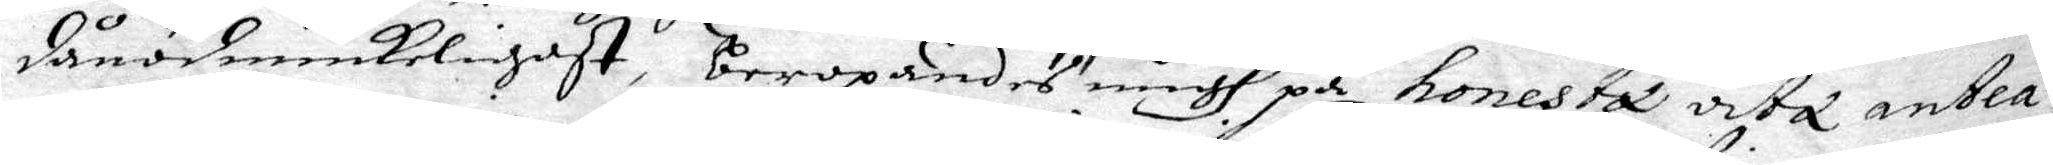dånödmiukeligast, beropandes migh på honesta octa antla¬
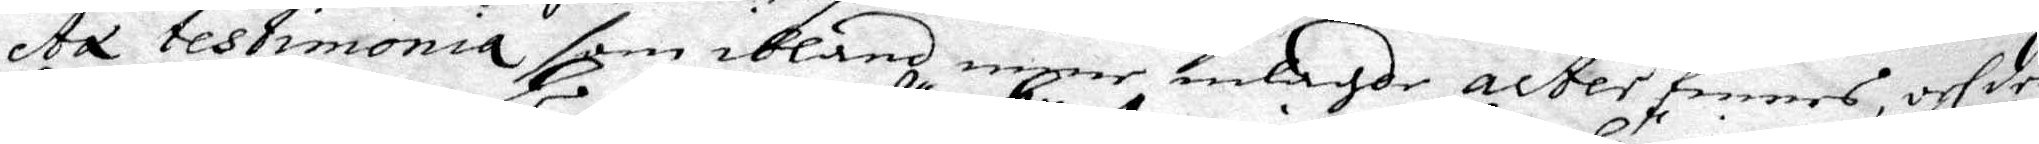ta testimonia, som ibland mine inlagde acter finnes, och der
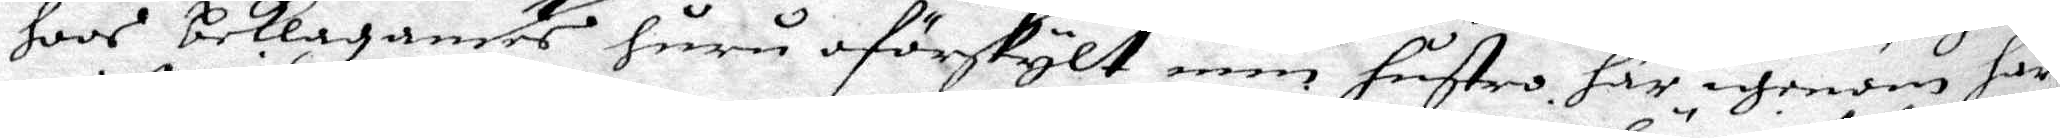hoos beklagandes huru oförskylt min hustro här igenom har
